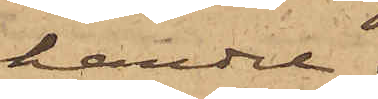handel;
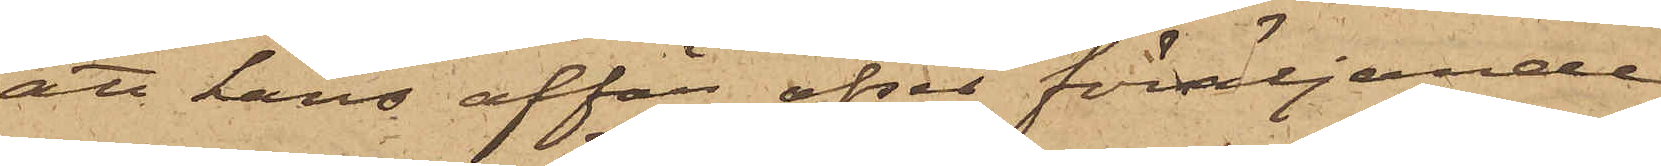att hans affär afser försäljande
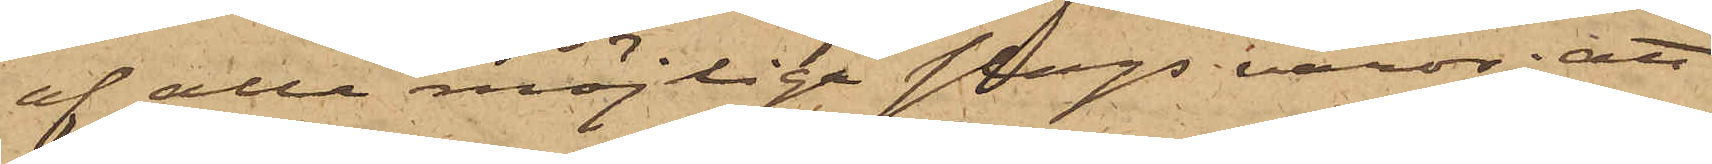af alla möjliga slags varor; att
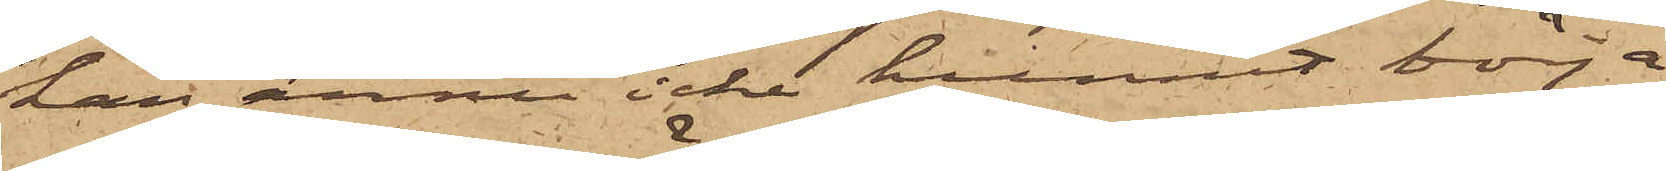han ännu icke hunnit börja
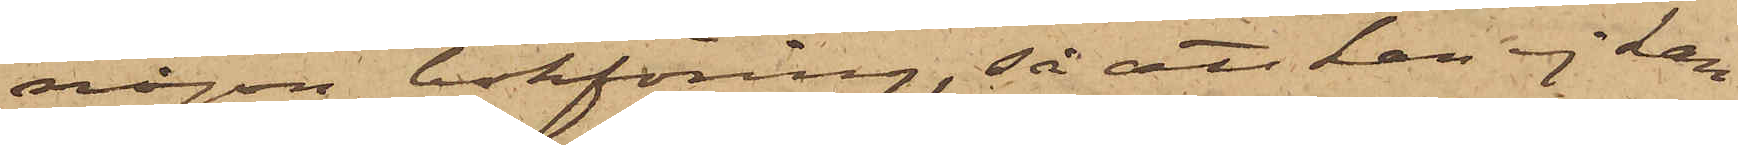någon bokföring, så att han ej kan
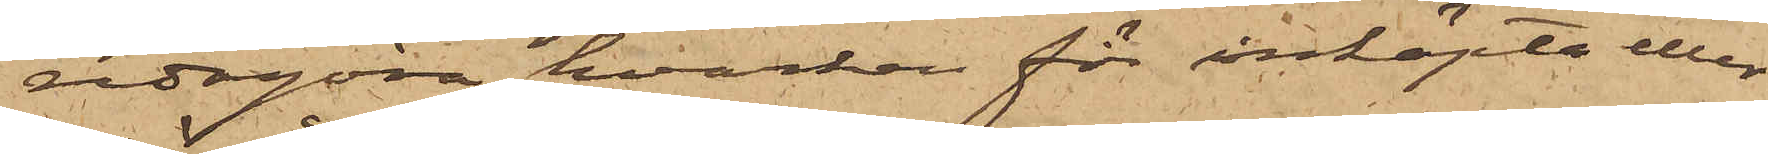redogöra hvarken för inköpta eller
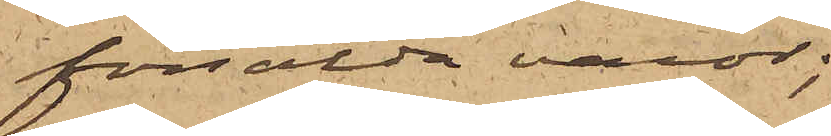försålda varor;
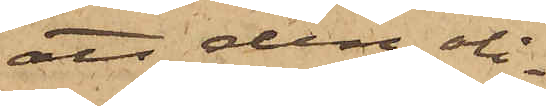att den oli¬
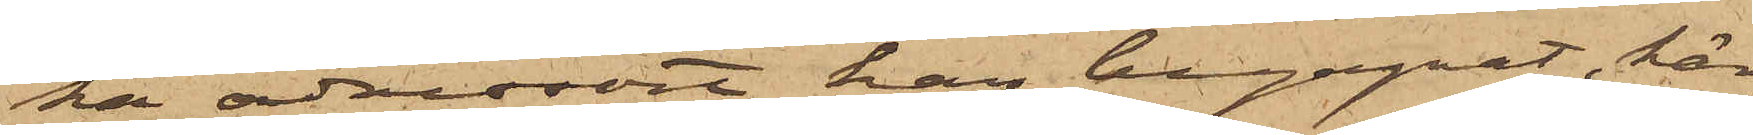ka adressort han begagnat, här¬
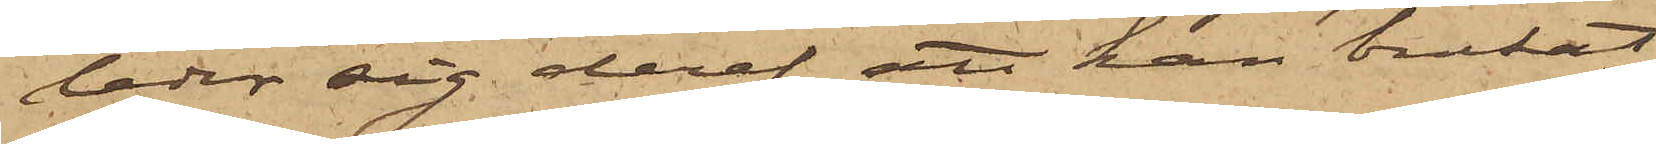leder sig deraf att han brukat
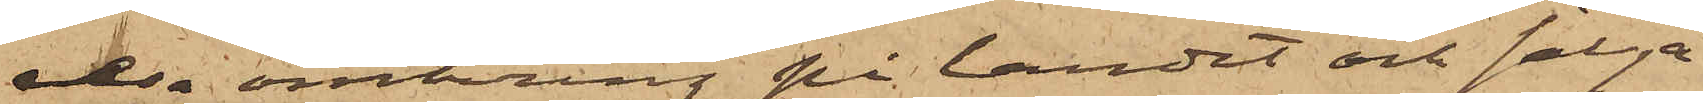resa omkring på landet och sälja,
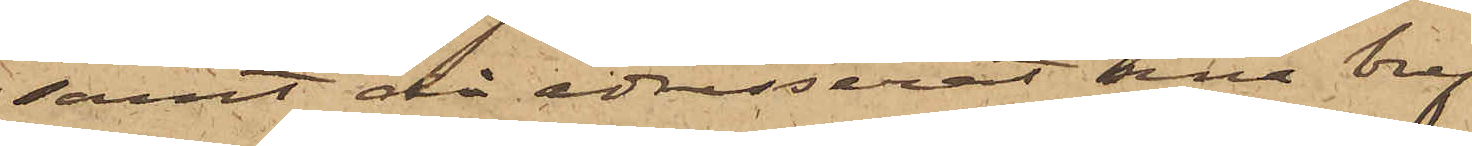samt då adresserat sina bref
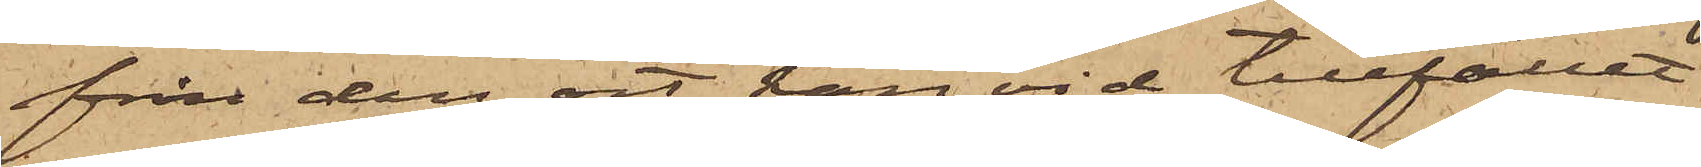från den ort han vid tillfället
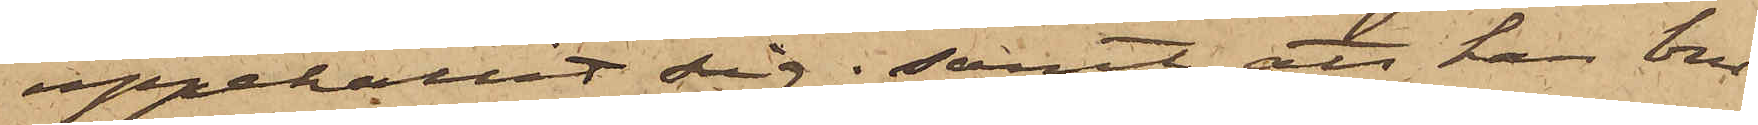uppehållit sig; samt att han bru¬
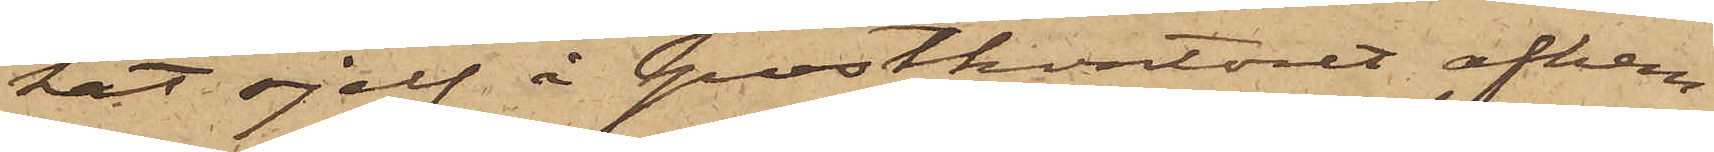kat sjelf å postkontoret afhem¬
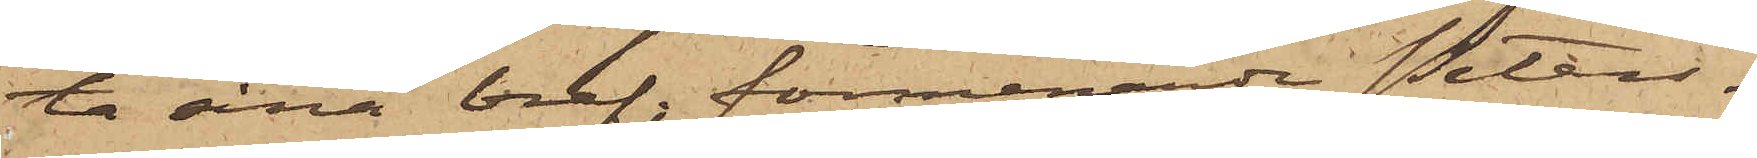ta sina bref, förmenande Peters¬
